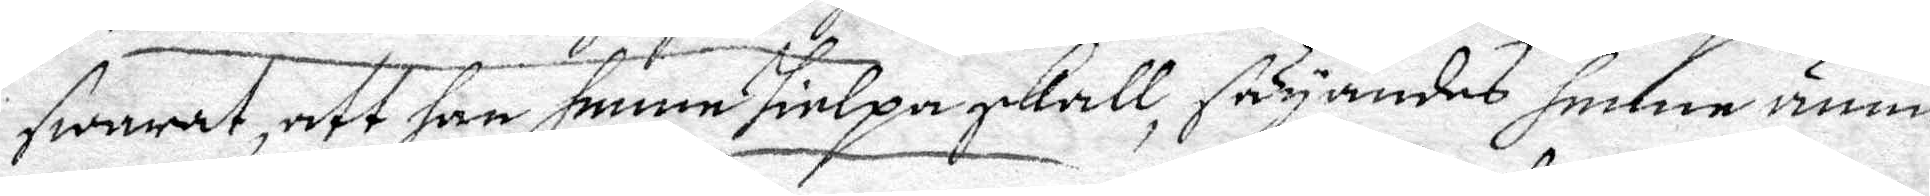swarat, att han henne hielpa skall, säyandes henne ännu
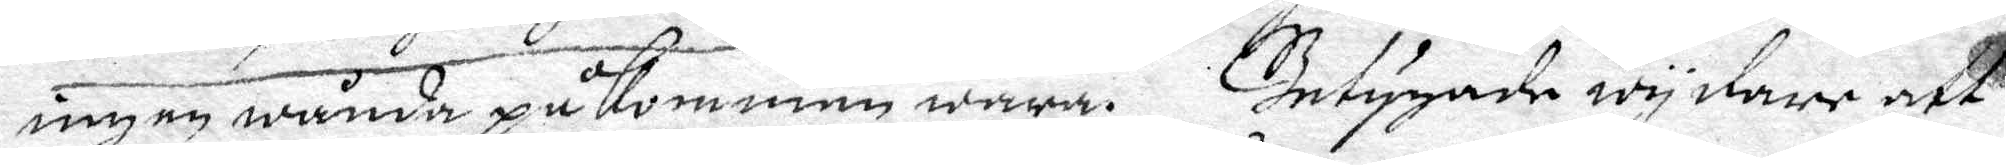ingen wånda påkommen wara. Intygade wydare att
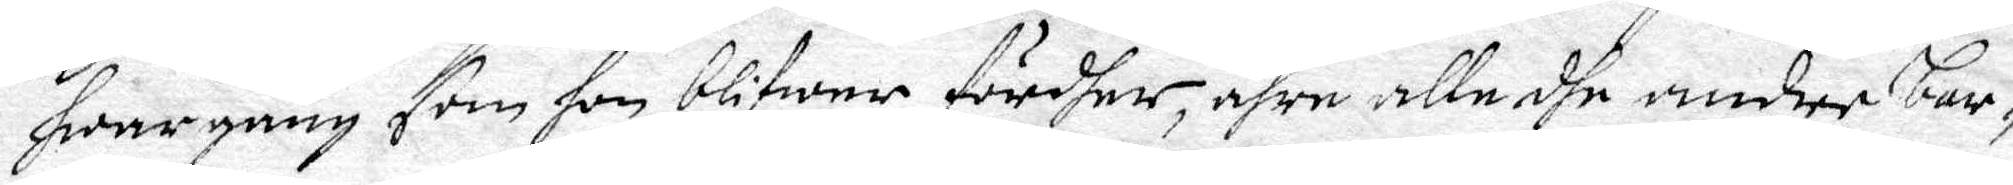hwar gång som hon blifwer fördher, ähre alle dhe andre bar¬
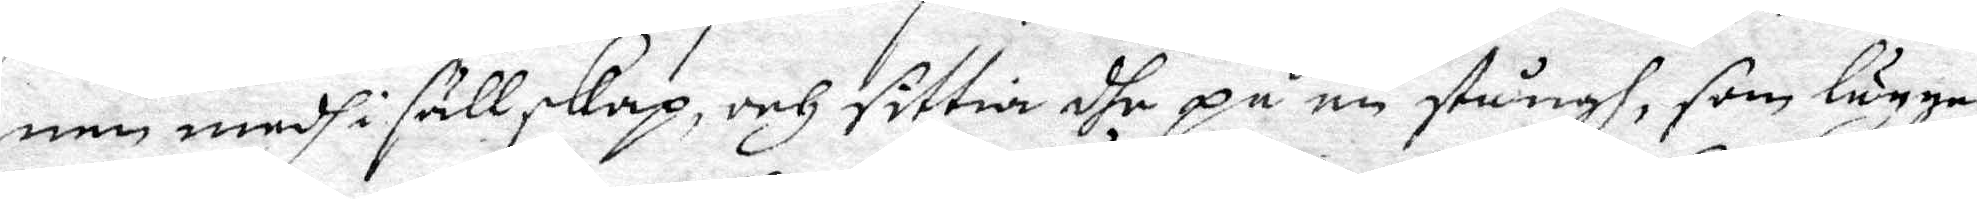nen medh i sällskap, och sittia dhe på en stångh, som lägges
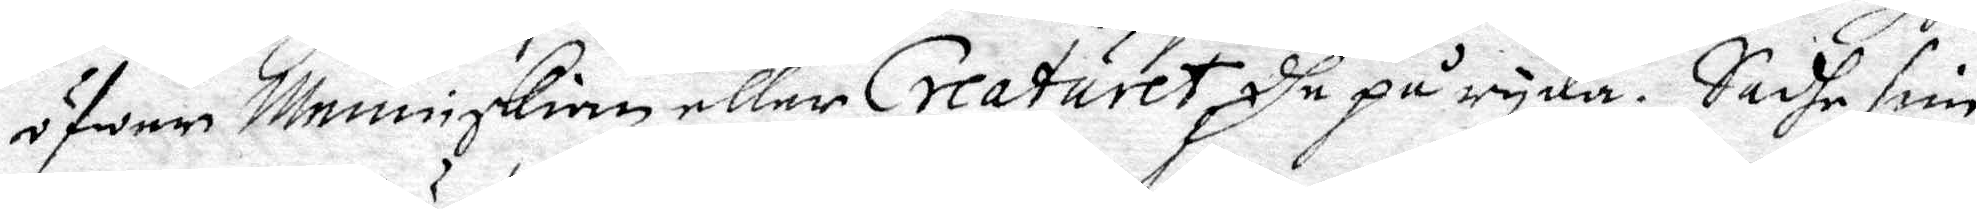öfwer Menniskian eller Creaturet dhe på ryda. Sadhe sine
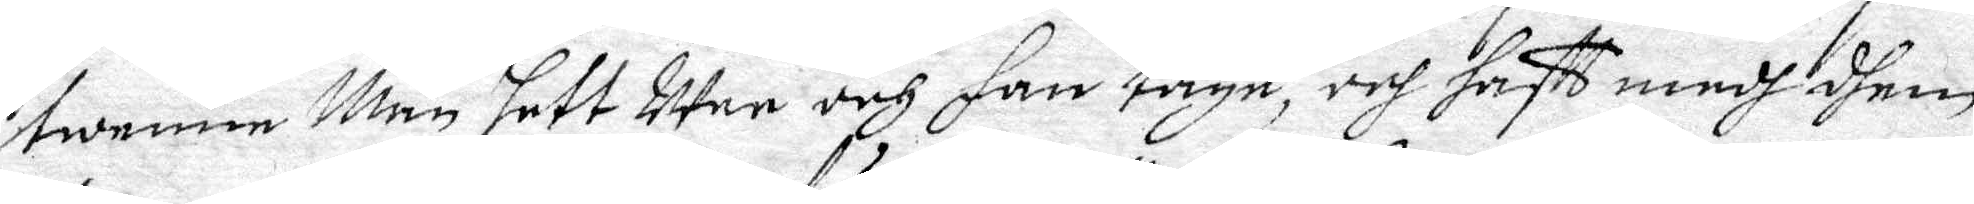twenne Män sett Uten och han taga, och fått medh dhem
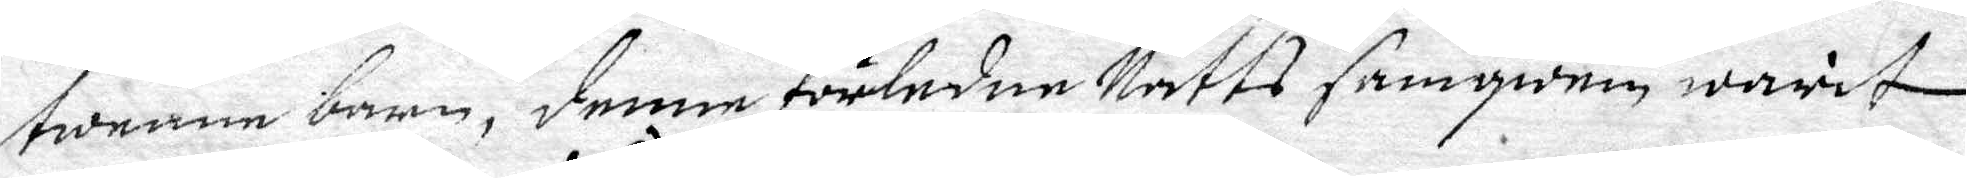twenne barn, denne förledne Natts samqwäm warit
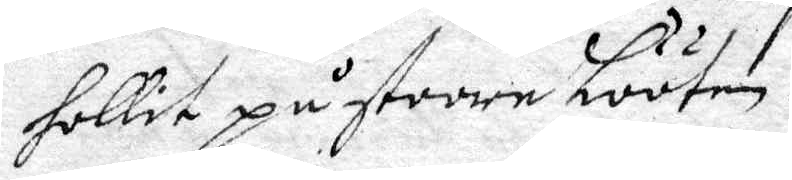hollit på store Lööten.
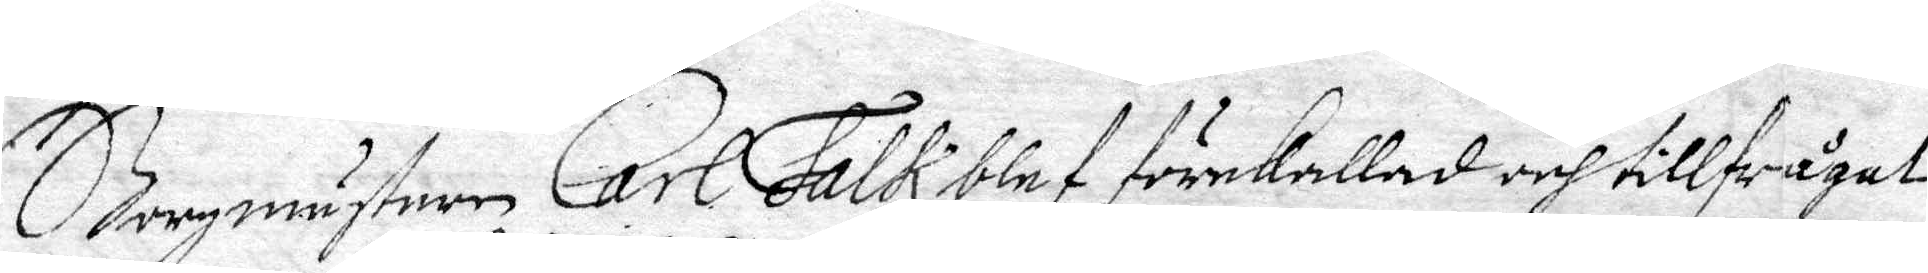Borgmästaren Carl Falk blef förekallad och tillfrågat
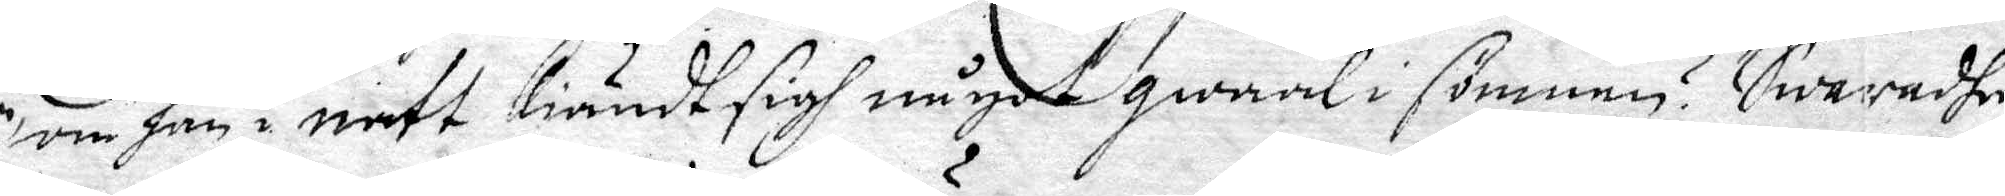om han i natt kiändt sigh något qwaal i sömnen? Swaradhe
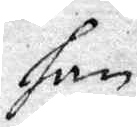han
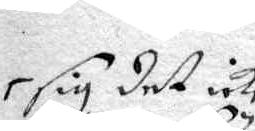sig det icke
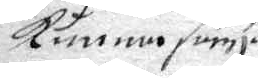kunna säya
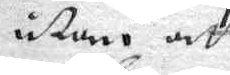uthan att
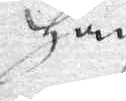Han
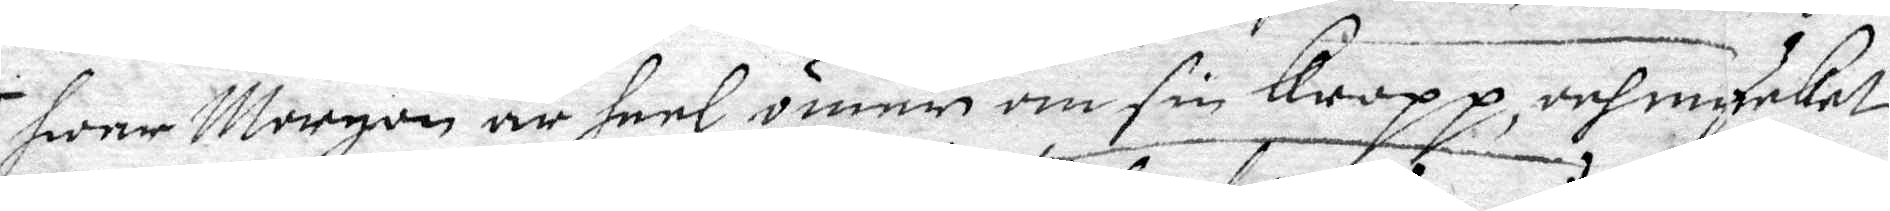hwar Morgon är heel ömer om sin Kropp, och mycket
